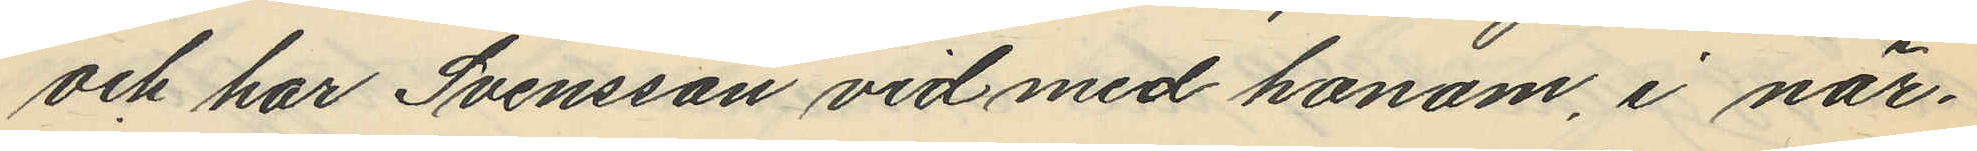och har Svensson vid med honom, i när¬
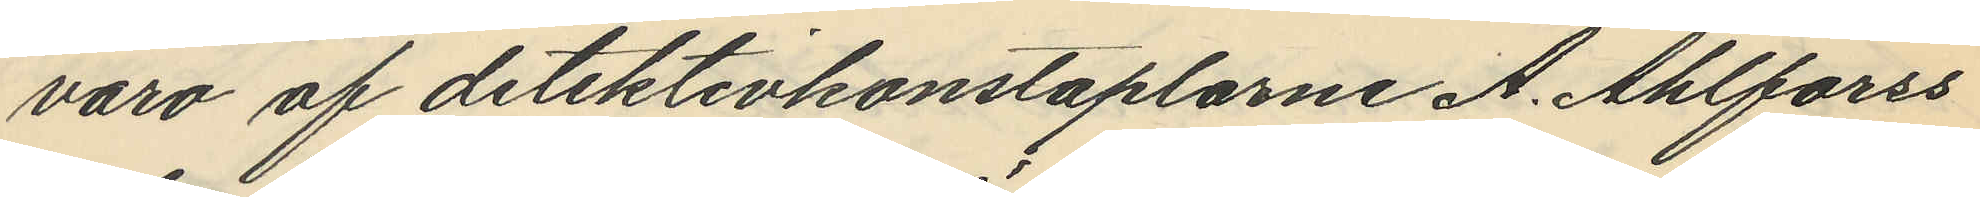varo af detektivkonstaplarne A. Ahlforss
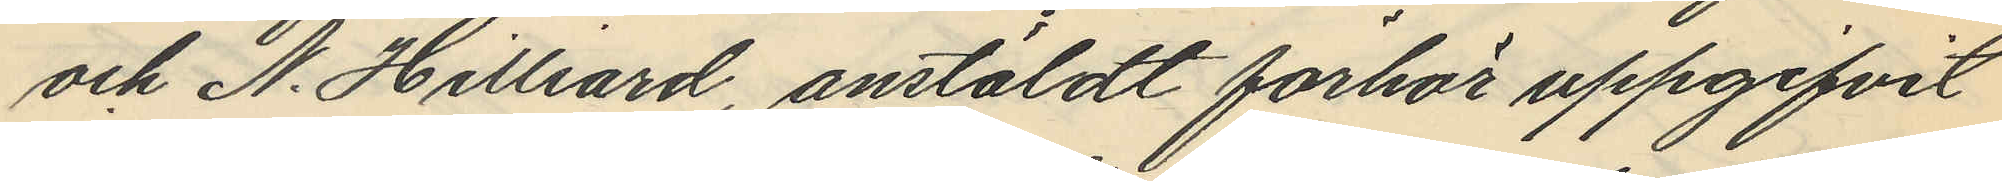och N. Hilliard, anstäldt förhör uppgifvit
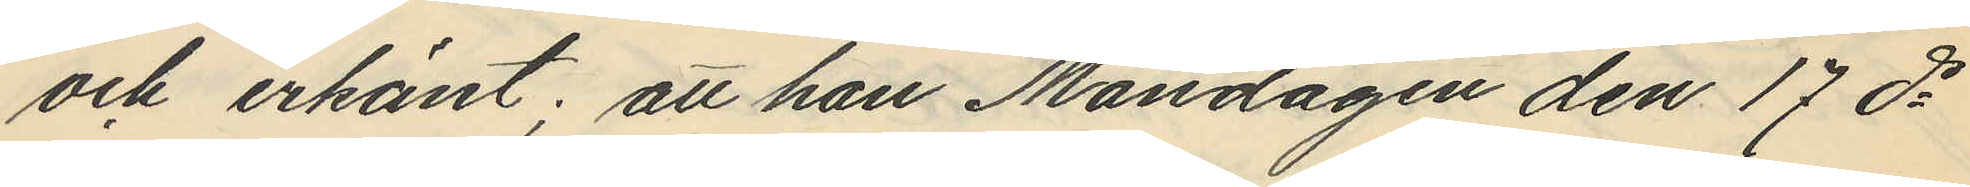och erkänt; att han Måndagen den 17 ds
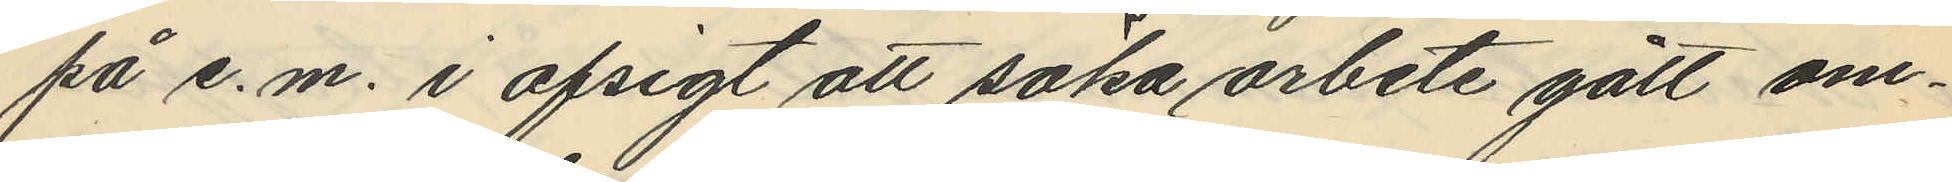på e.m. i afsigt att söka arbete gått om¬
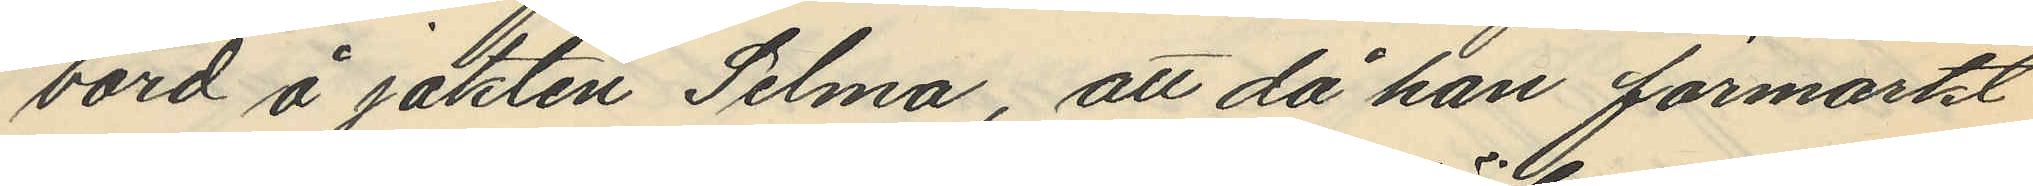bord å jakten Selma, att då han förmärkt
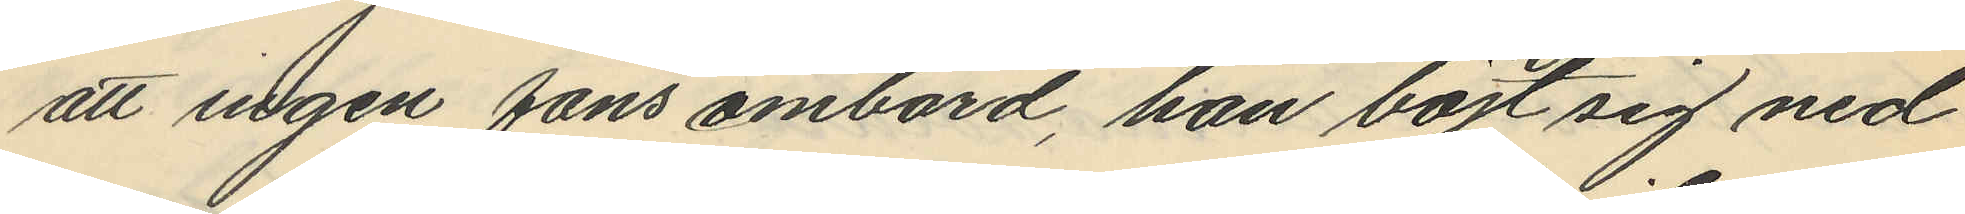att ingen fans ombord, han böjt sig ned
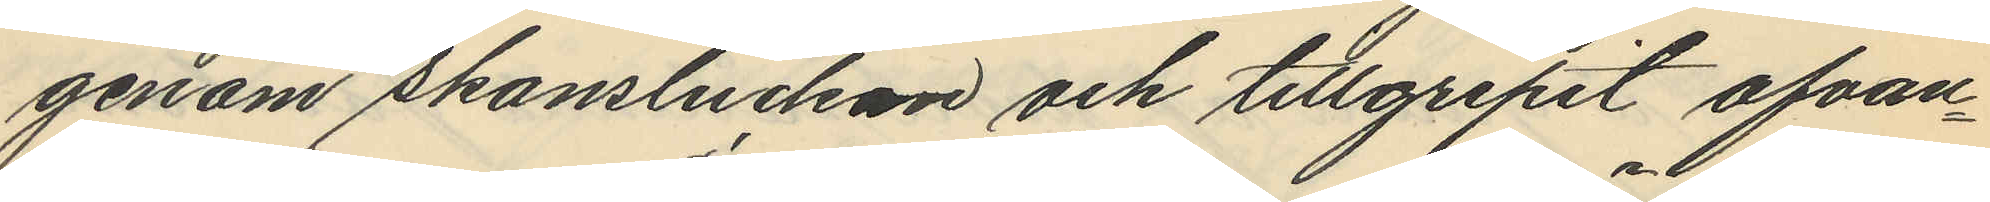genom skansluckan och tillgripit ofvan¬
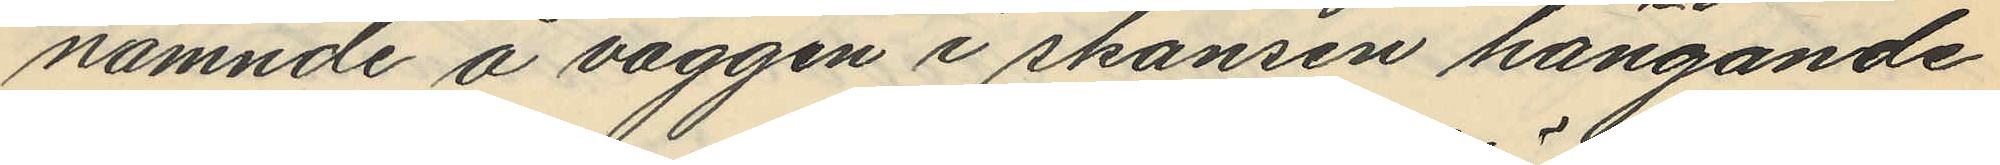nämnde å väggen i skansen hängande
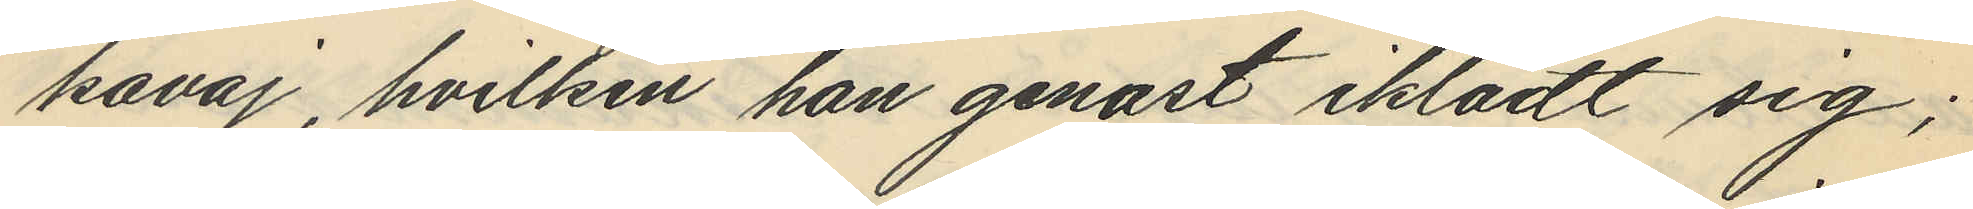kavaj, hvilken han genast iklädt sig;
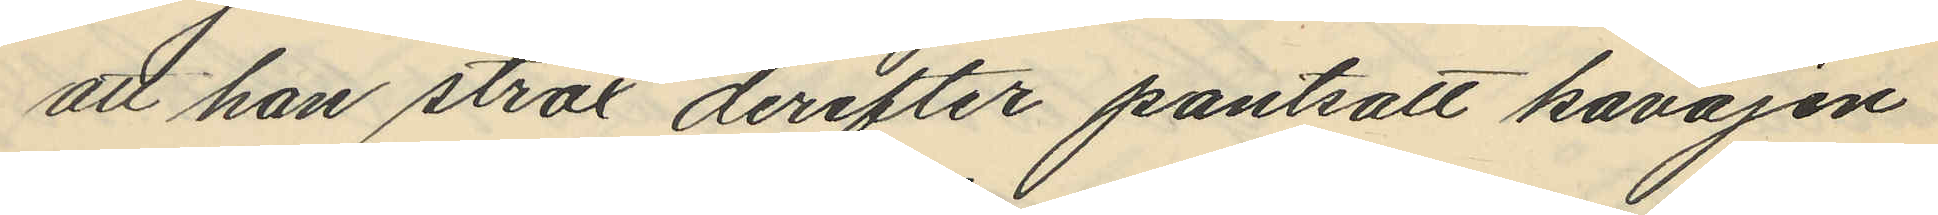att han strax derefter pantsatt kavajen
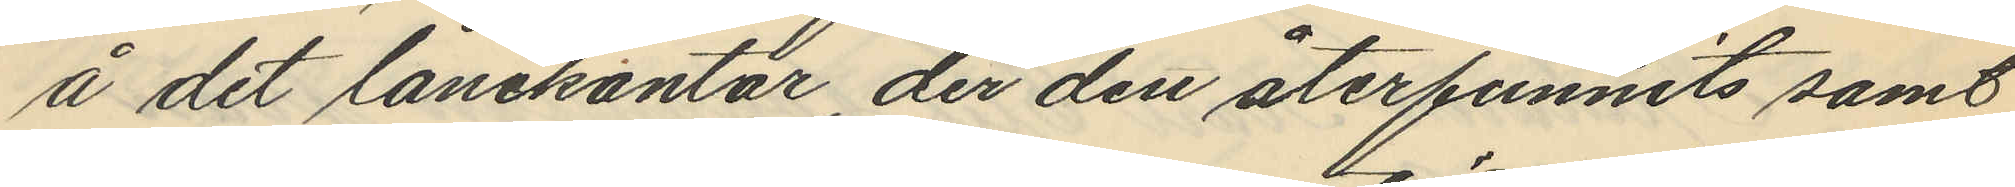å det lånekontor, der den återfunnits samt
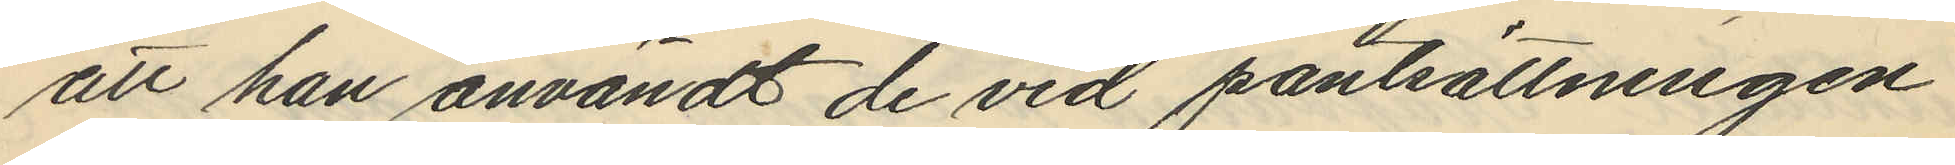att han användt de vid pantsättningen
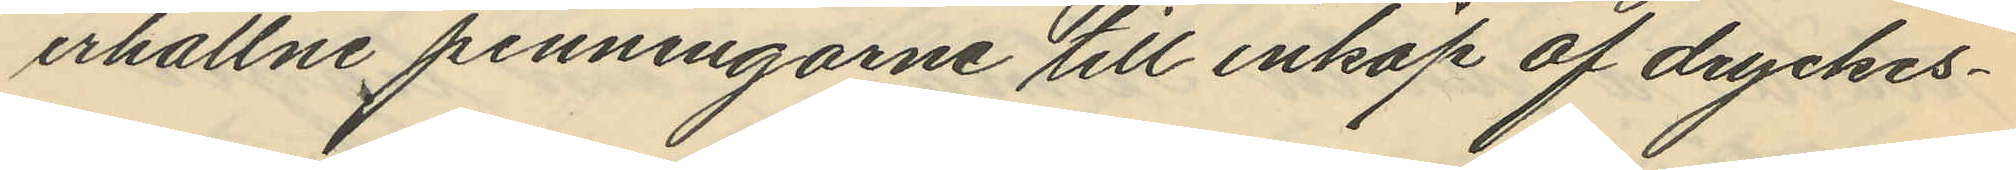erhållne penningarne till inköp af dryckes¬
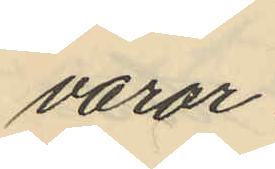varor.
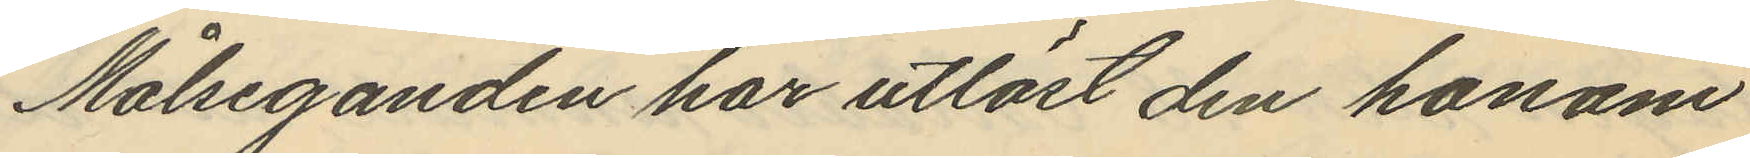Målseganden har utlöst den honom
